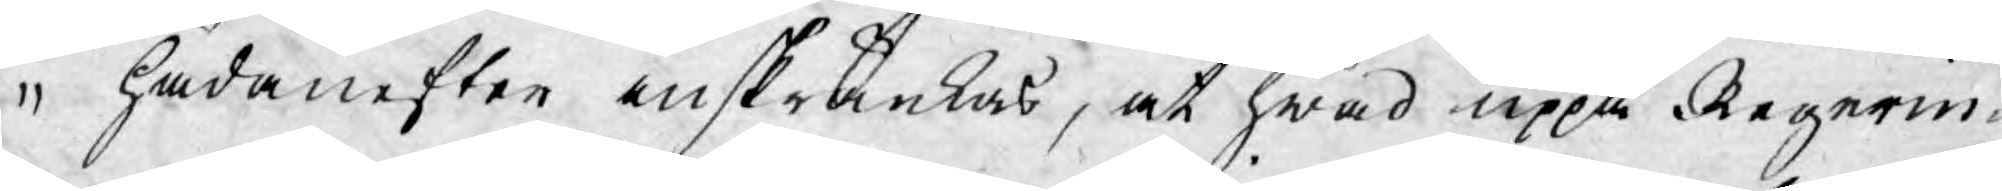hädanefter inskränkas, at hwad uppå Regerin¬
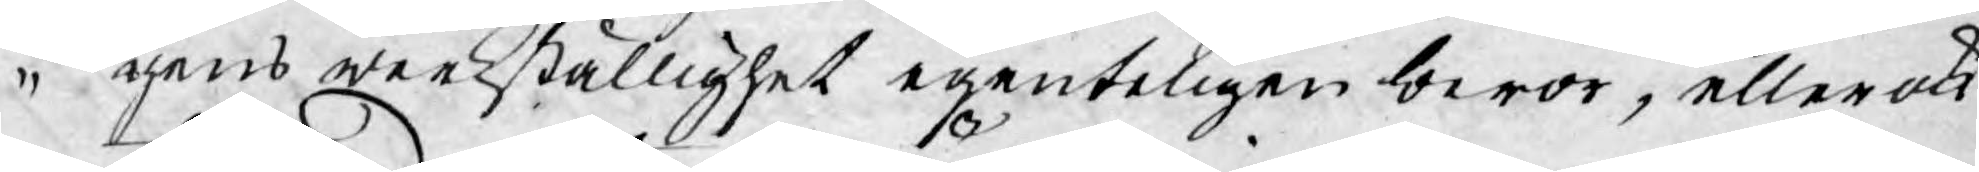gens werkställighet egenteligen beror, eller ock
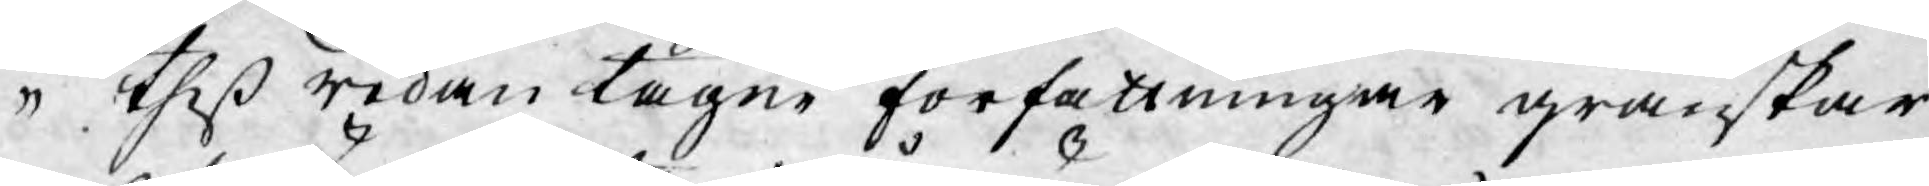theß redan tagne författningar granskar
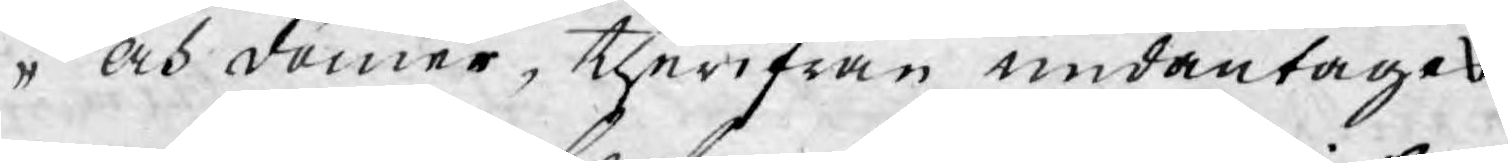och dömer, therifrån undantages.
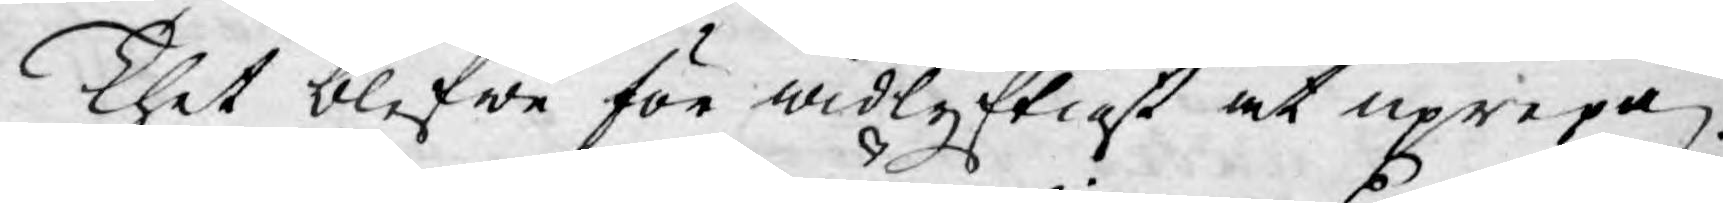Thet blefwe för widlyftigt at uprepa
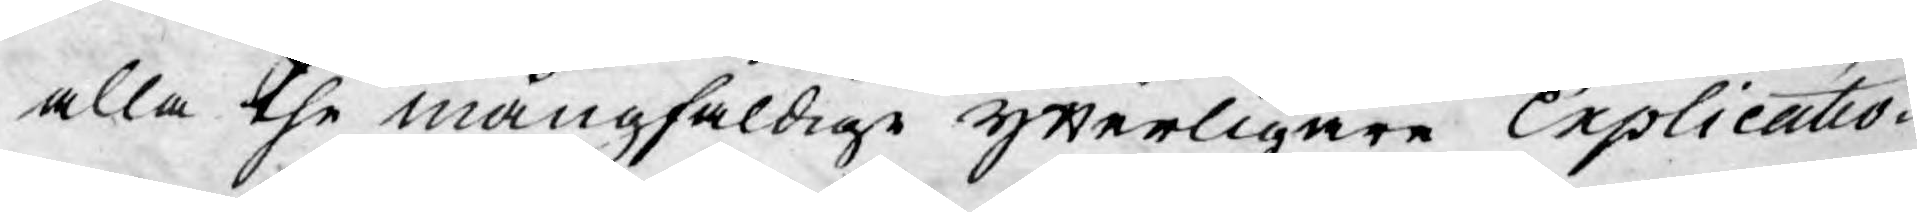alla the mångfaldige Ytterligare Explicatio¬
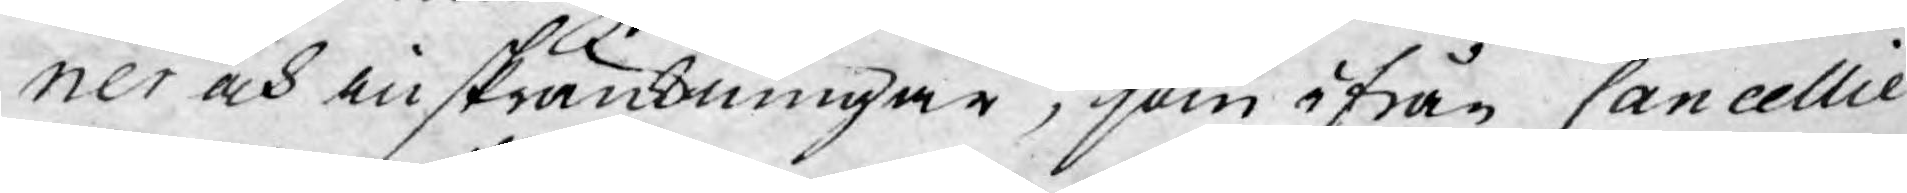ner och inskränkningar, som ifrån Cancellie
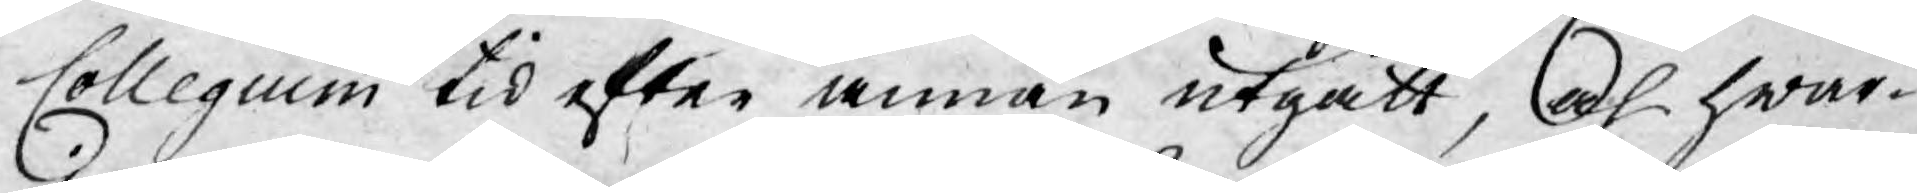Collegium tid efter annan utgått, och hwar¬
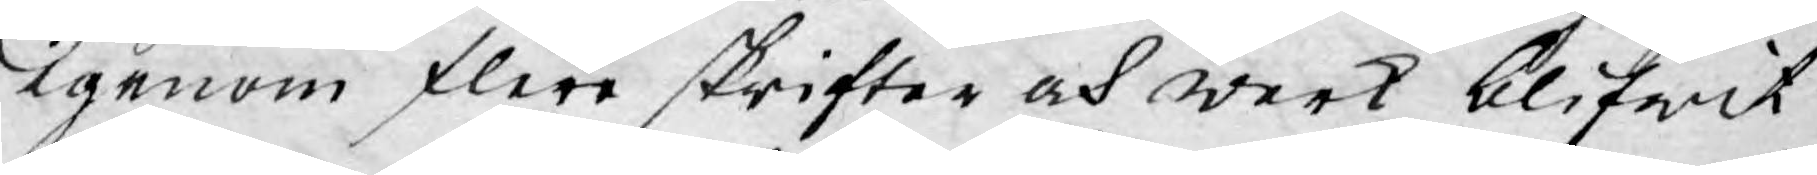igenom flere skrifter och werk blifwit
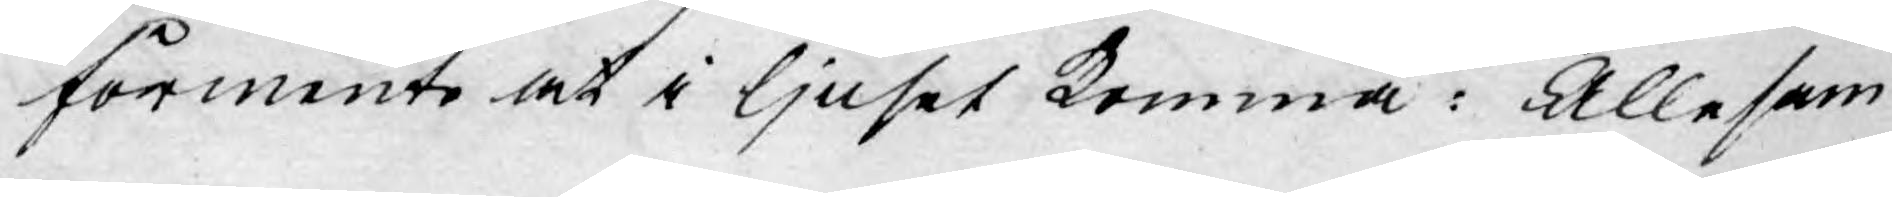förmente at i ljuset komma: Allesam¬
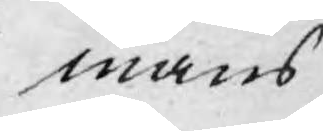mans
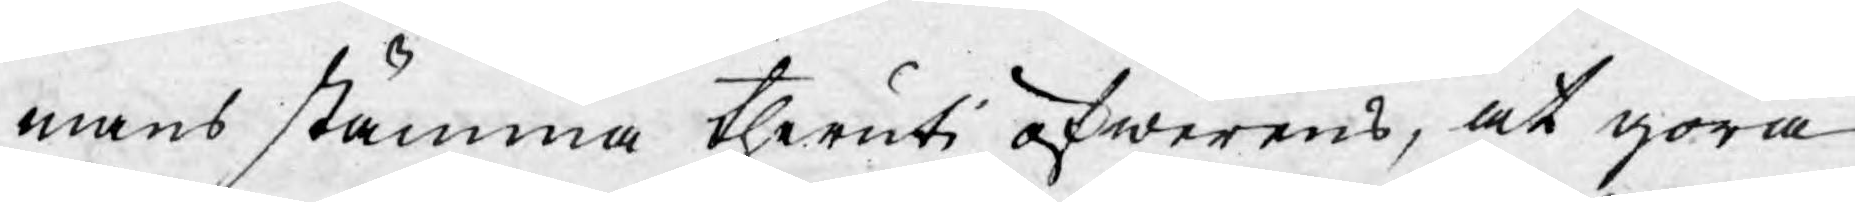mans stämma theruti öfwerens, at göra
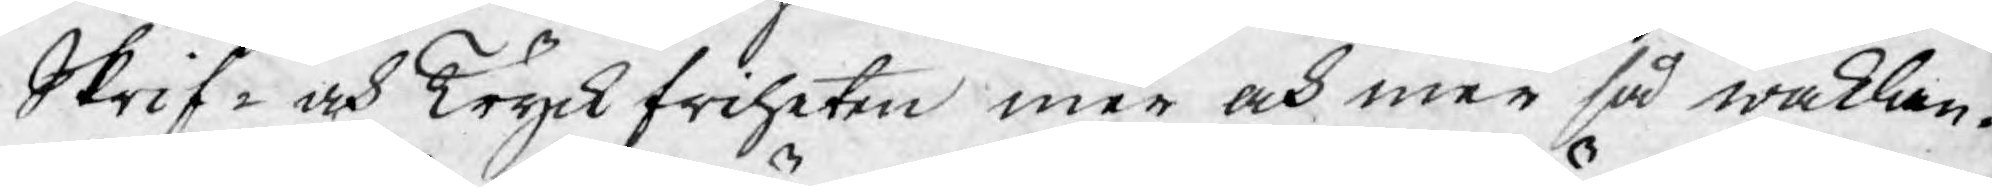Skrif- och Tryckfriheten mer och mer så waklan¬
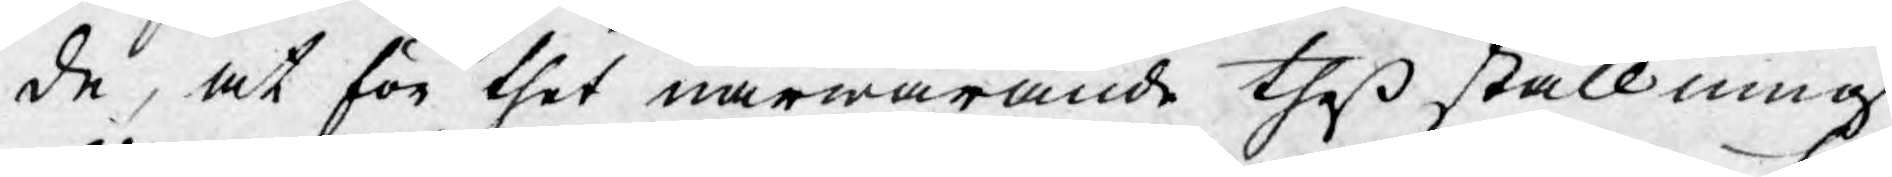de, at för thet närwarande theß ställning
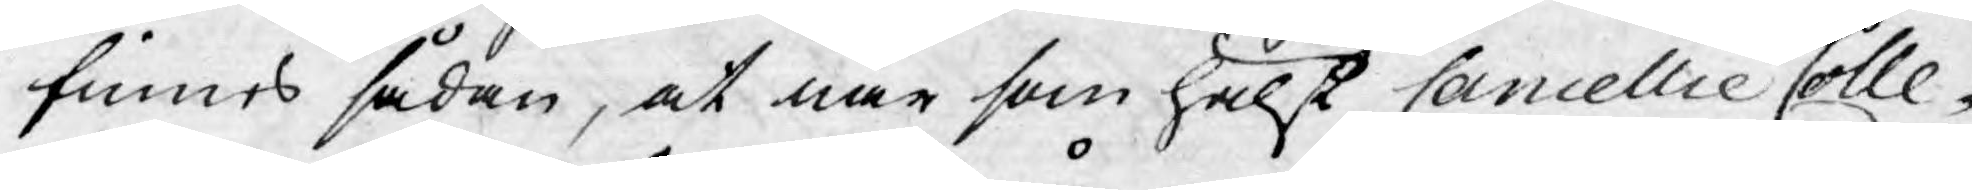finnes sådan, at när som hälst Cancellie Colle¬
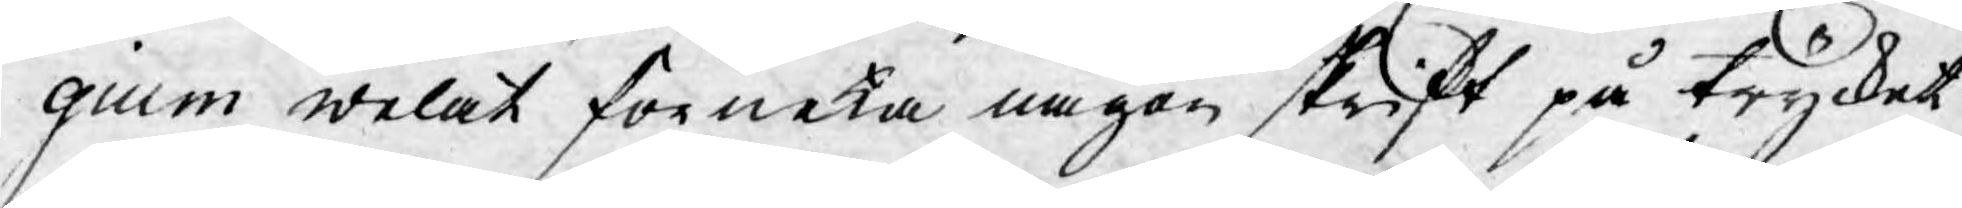gium welat förneka någon skrift på trycket
